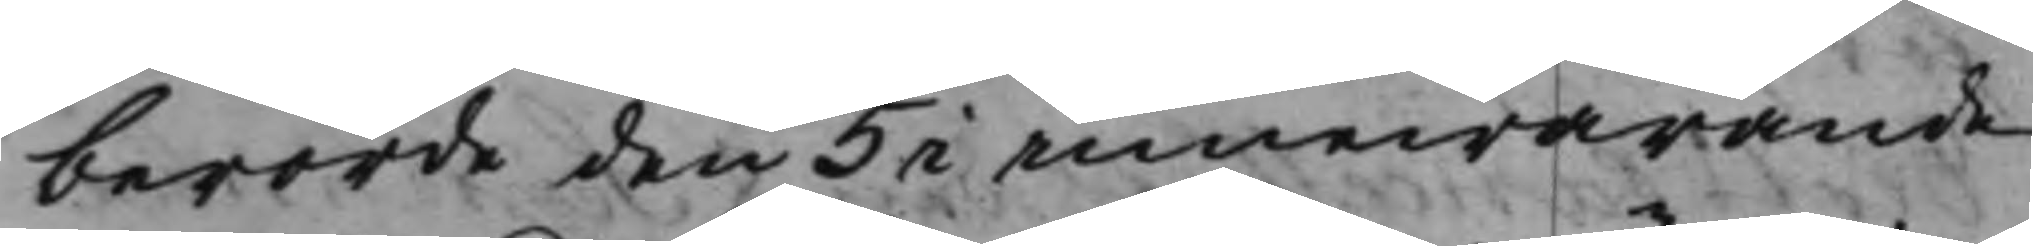berörde den 5 i innewarande
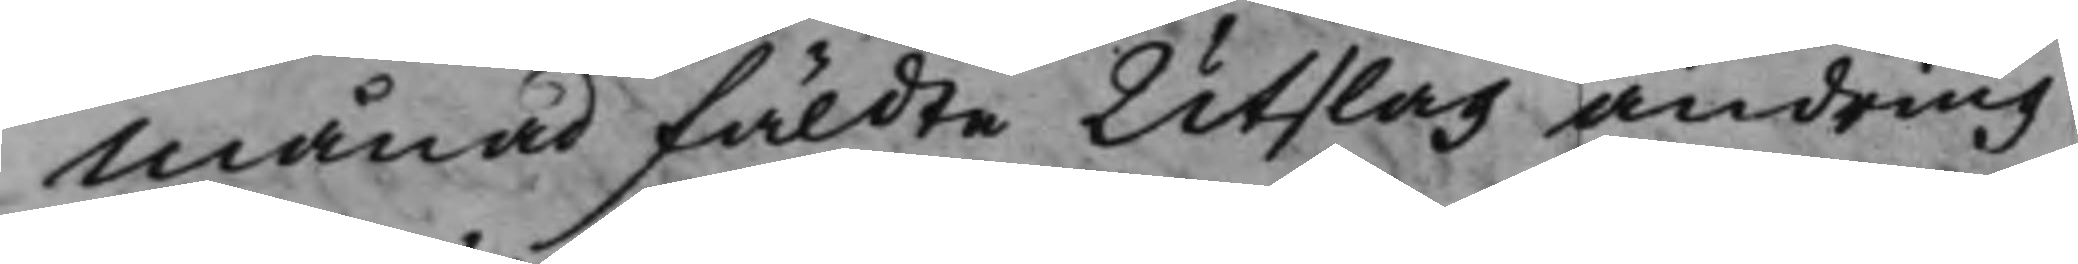Månad fäldte Utslag ändring
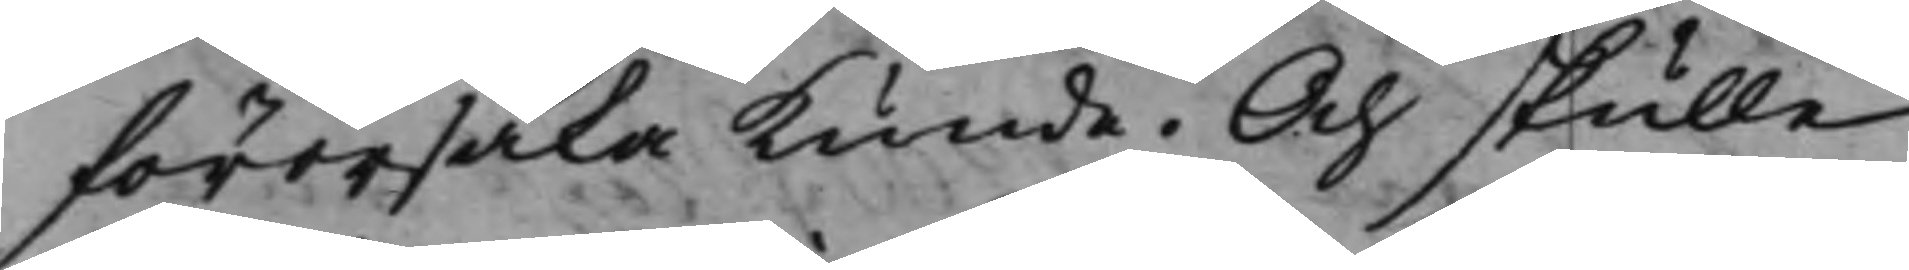förorsaka kunde. Och skulle
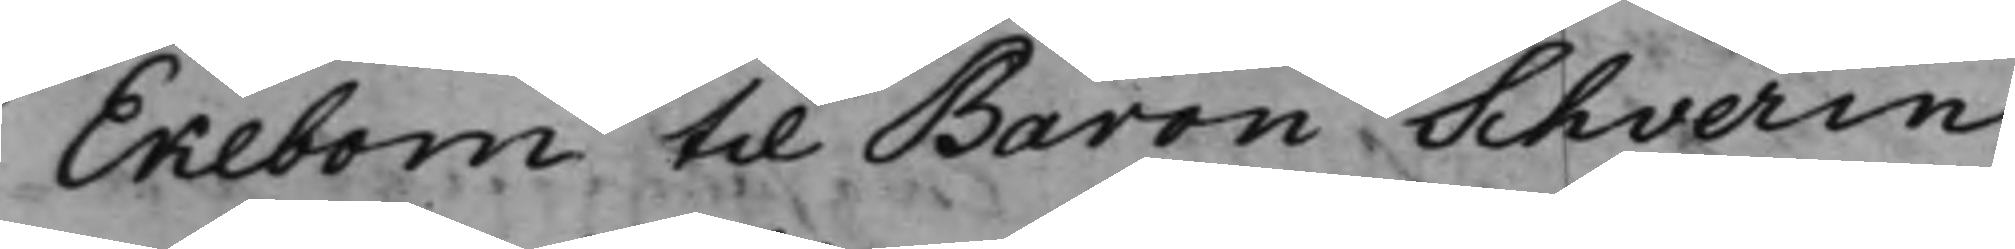Ekebom til Baron Schverin
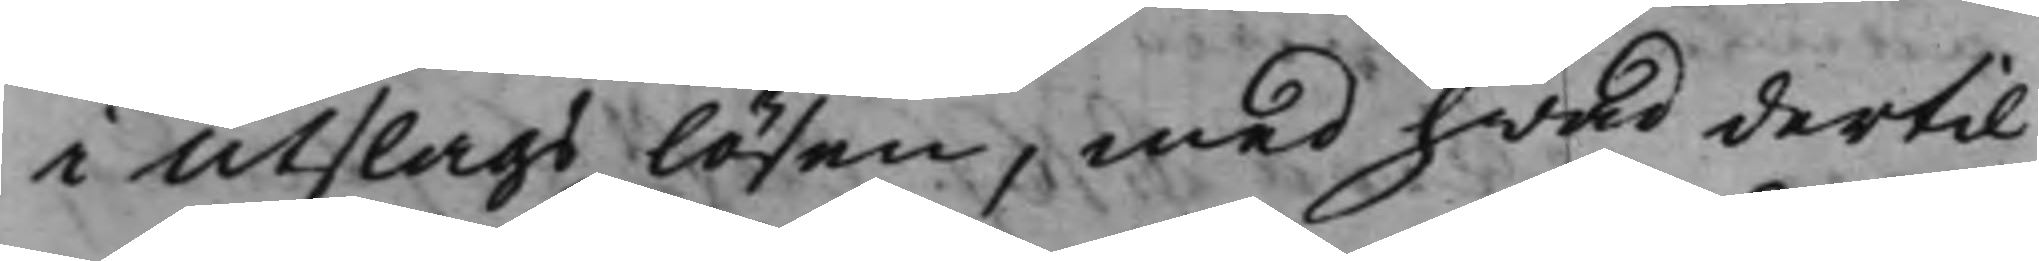i utslags lösen, med hwad dertil
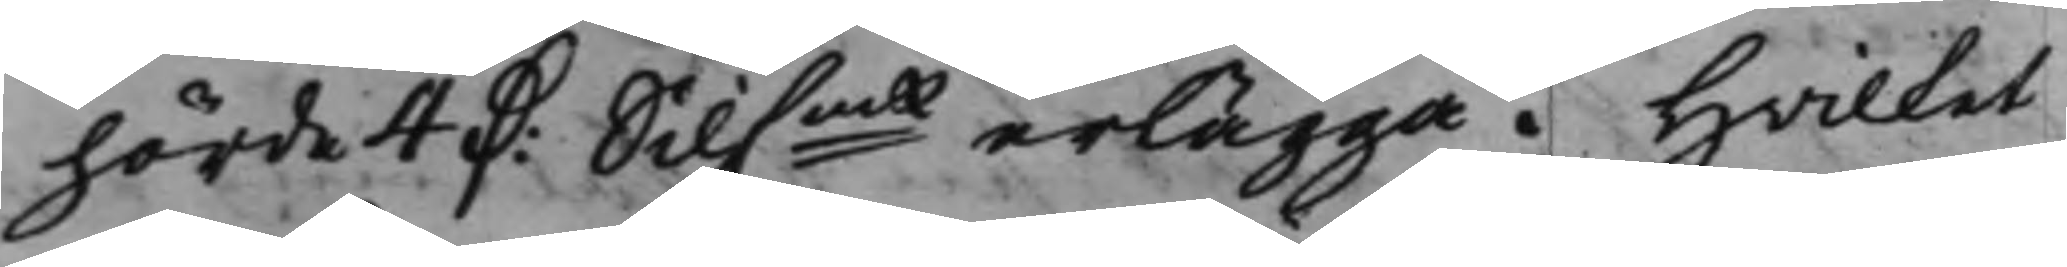hörde 4 D:r Silf.mt erlägga. Hwilket
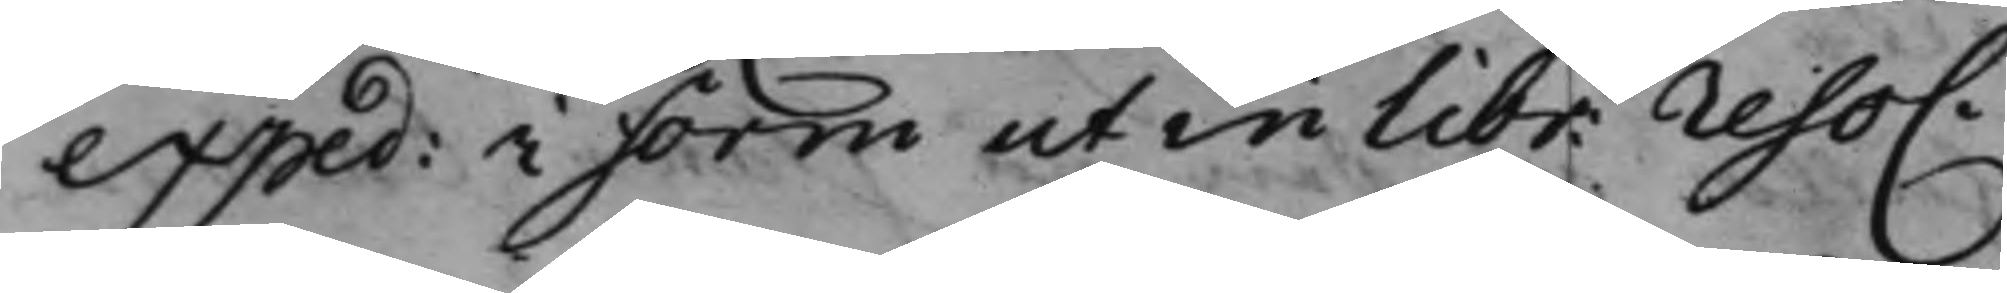exped: i form ut in libr. reso.
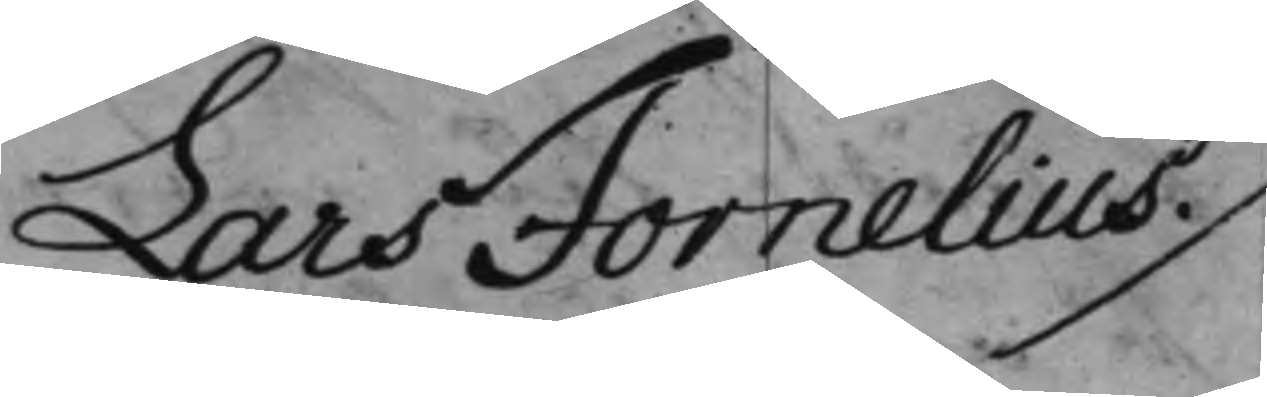Lars Fornelius ./
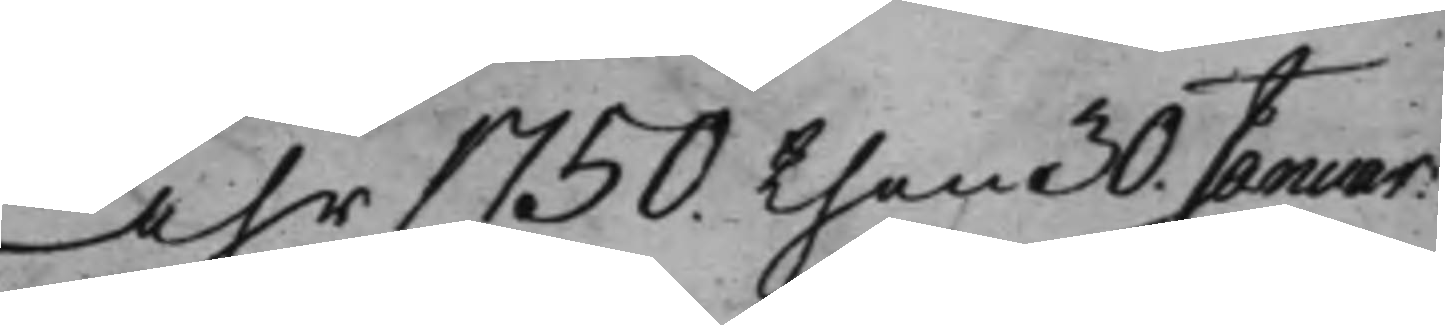Åhr 1750. then 30. Januar.
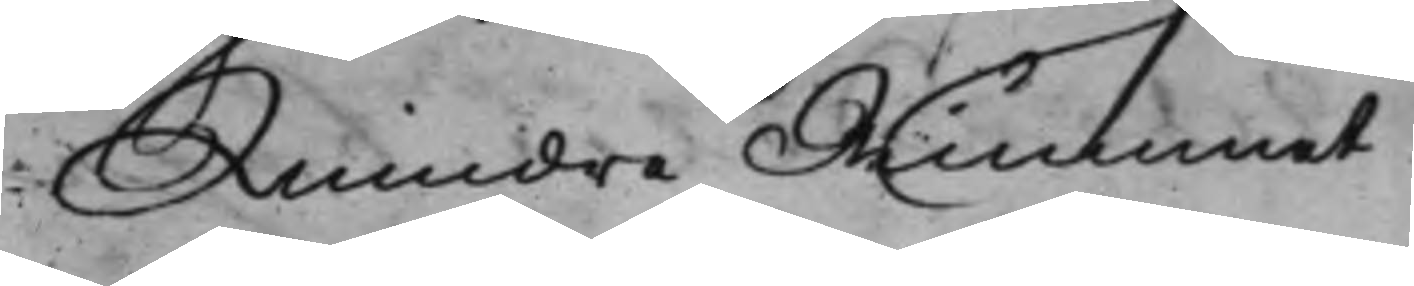Mindre Rummet
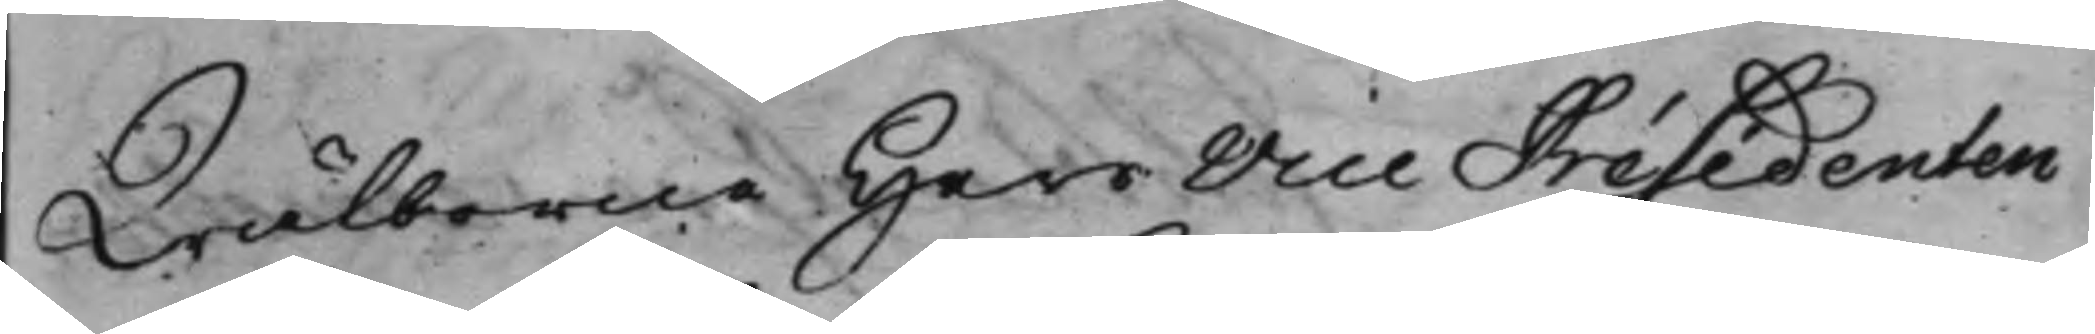Wälborne Herr Vice Présedenten
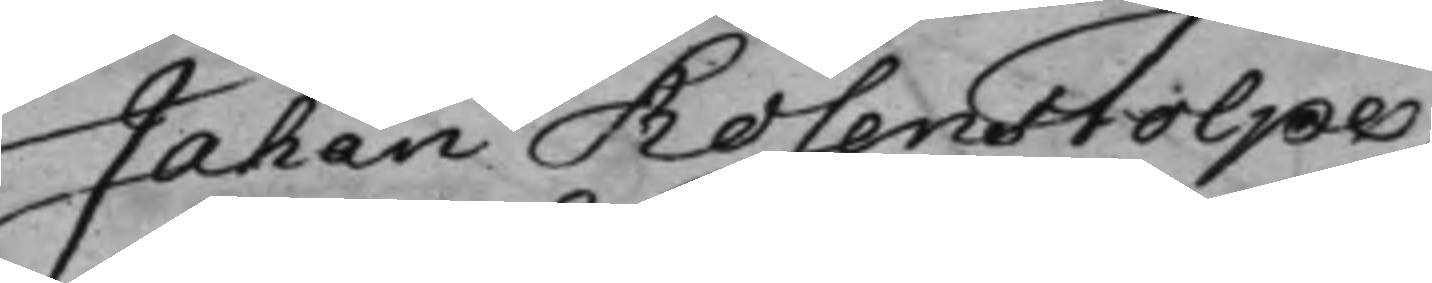Jahan Rosenstolpe,
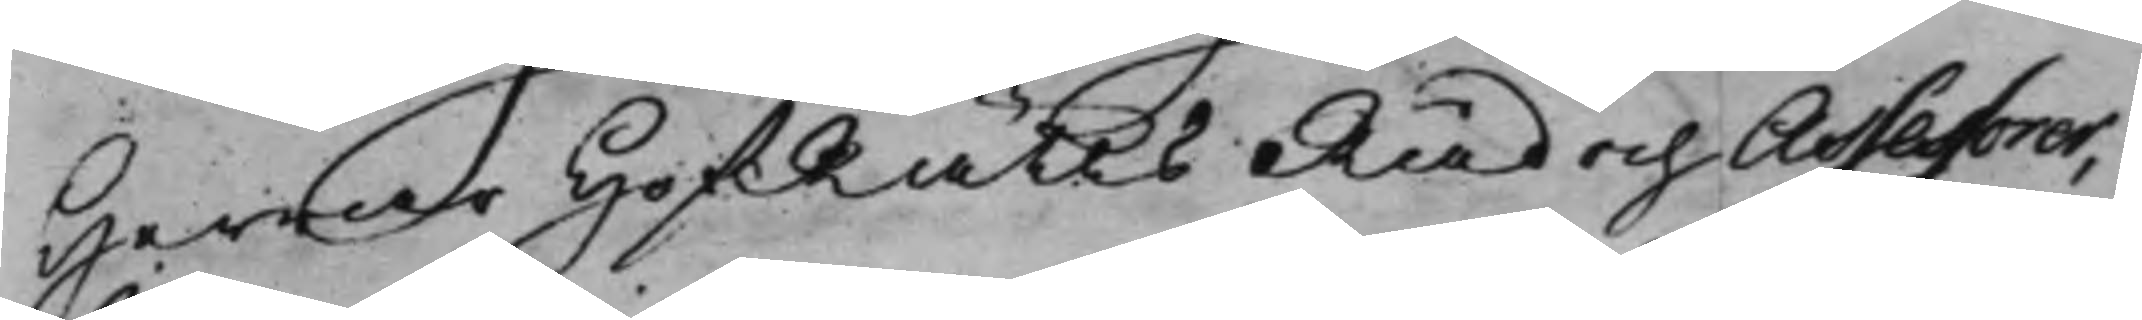Herrar HofRätts Råd och Assessorer,
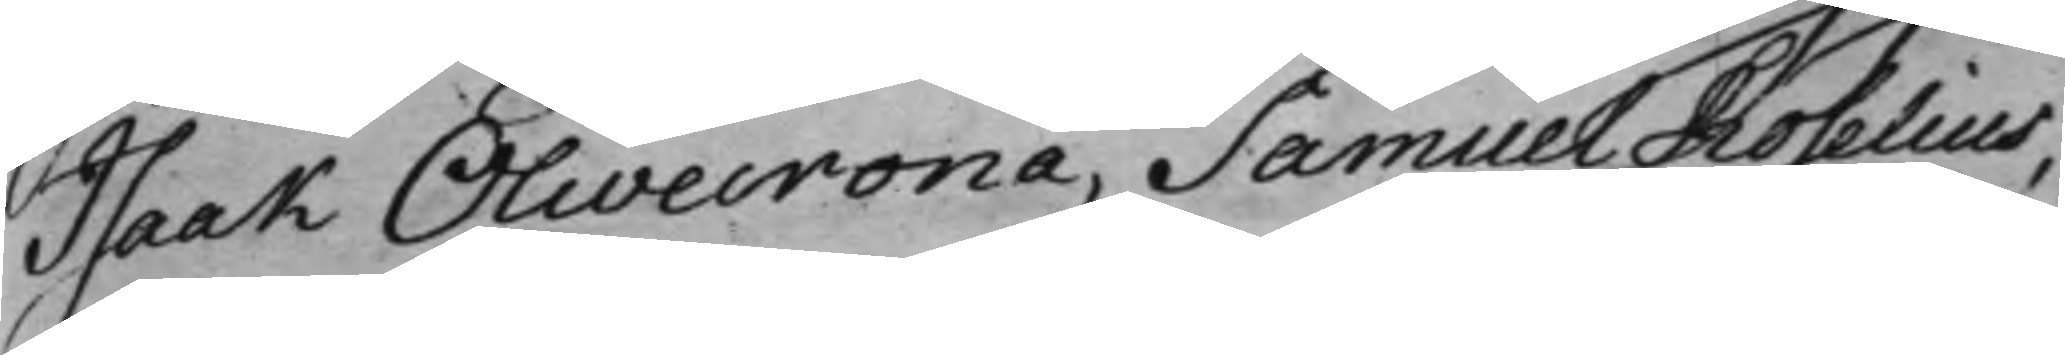Isaak Olivecrona, Samuel Roselius,
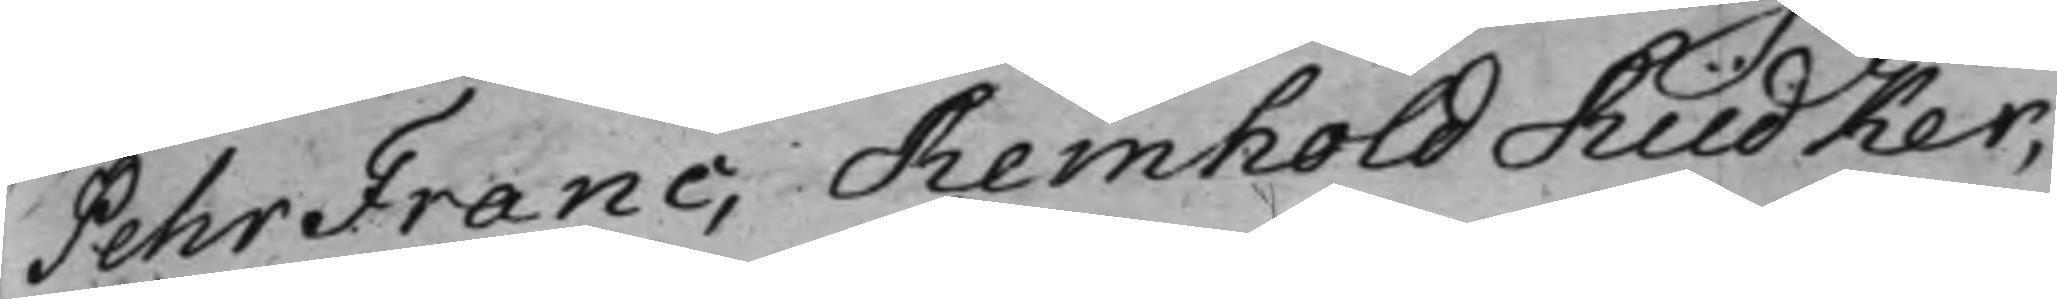Pehr Franc, Reinhold Rüdker,
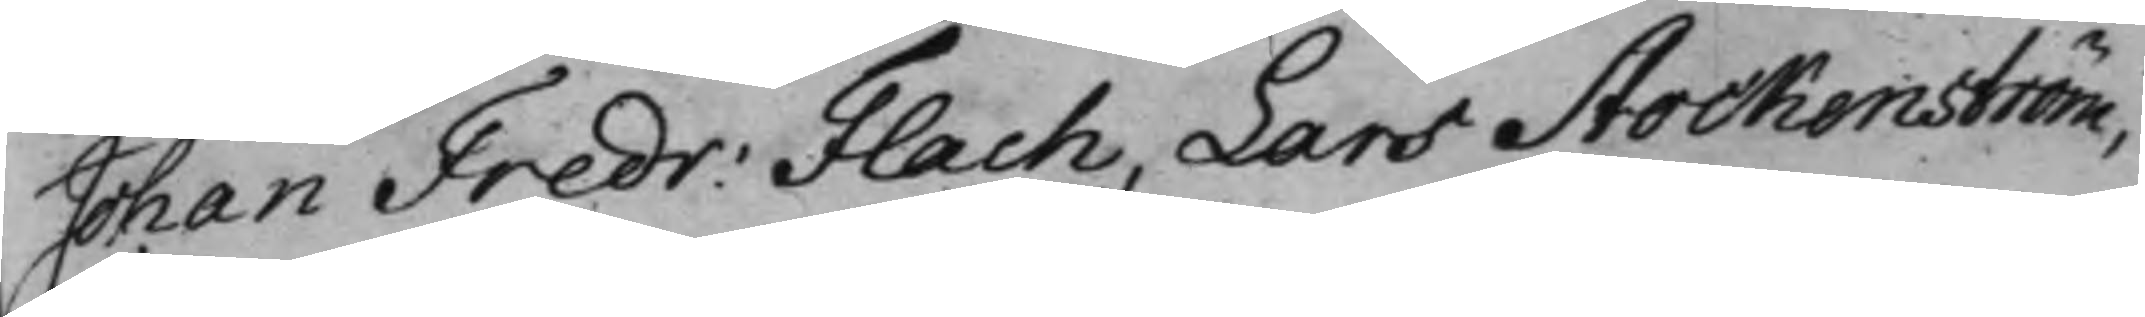Johan Fredr: Flach, Lars Stockenström,
